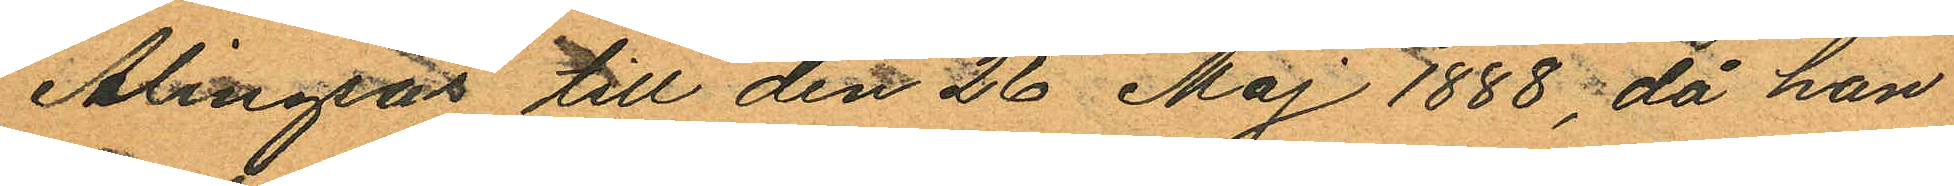Alingsås till den 26 Maj 1888, då hon
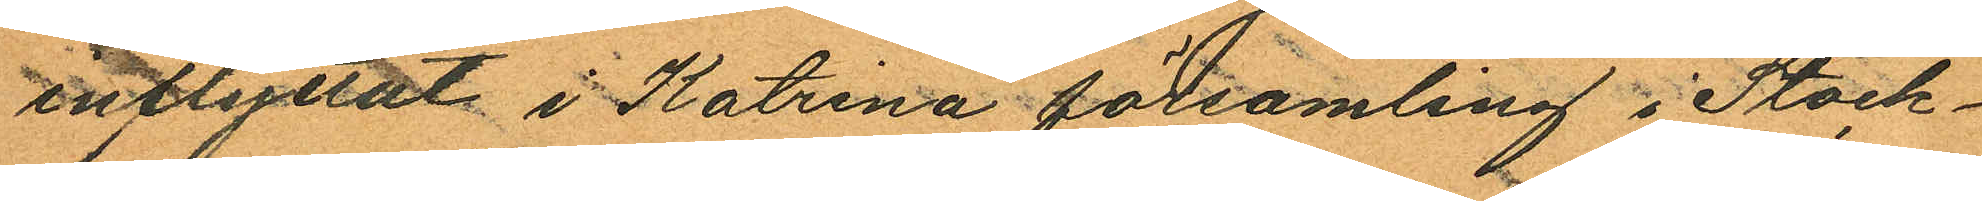inflyttat i Katrina församling i Stock¬
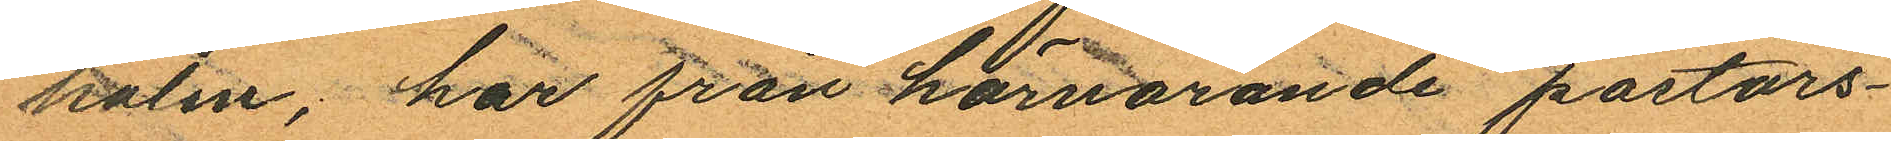holm, har från härvarande pastors¬
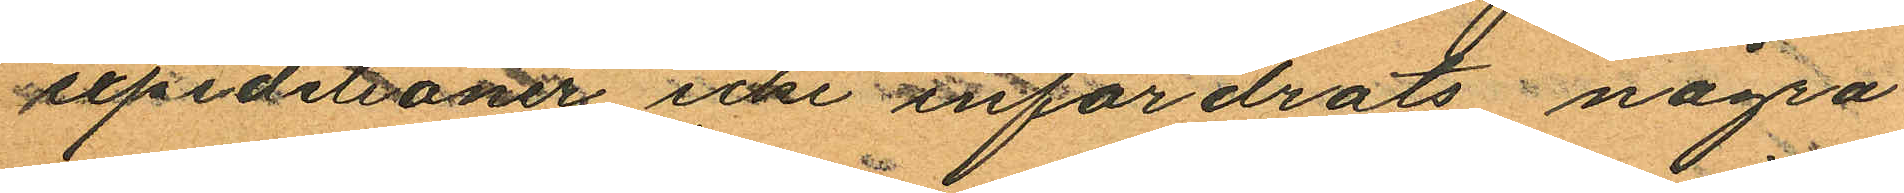expiditioner icke anfordrats några
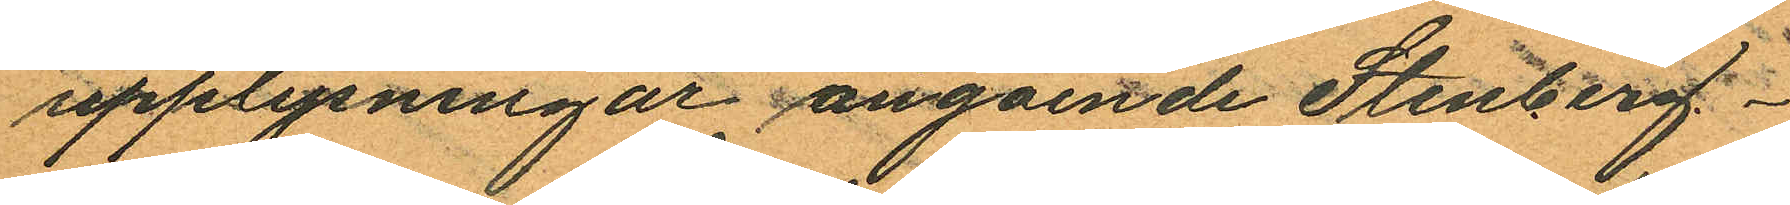upplysningar angående Stenberg.
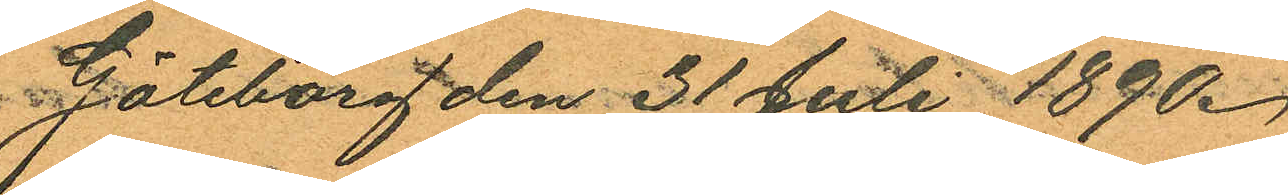Göteborg den 31 Juli 1890.
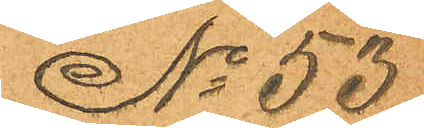No 53
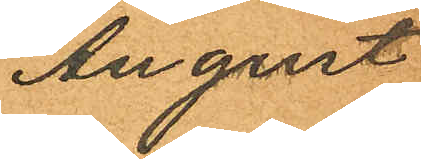August
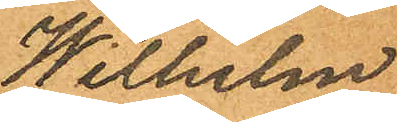Wilhelm
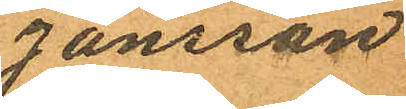Jansson
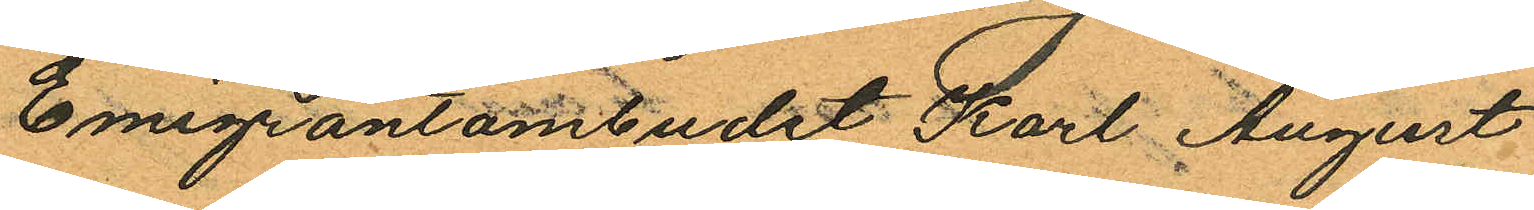Emigrantombudet Karl August
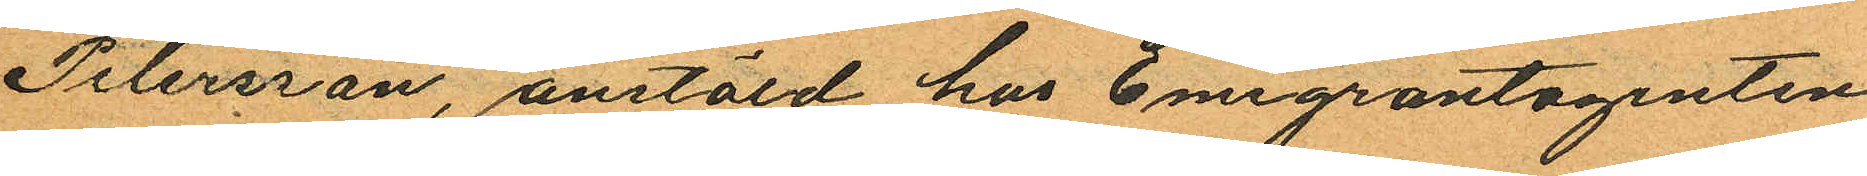Petersson, anstäld hos Emigrantagenten
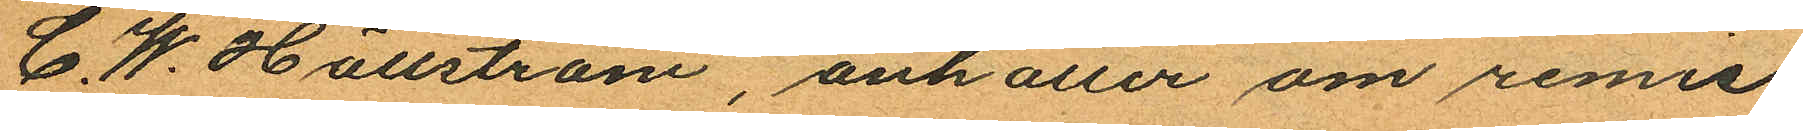C. W. Hällström, anhåller om remiss
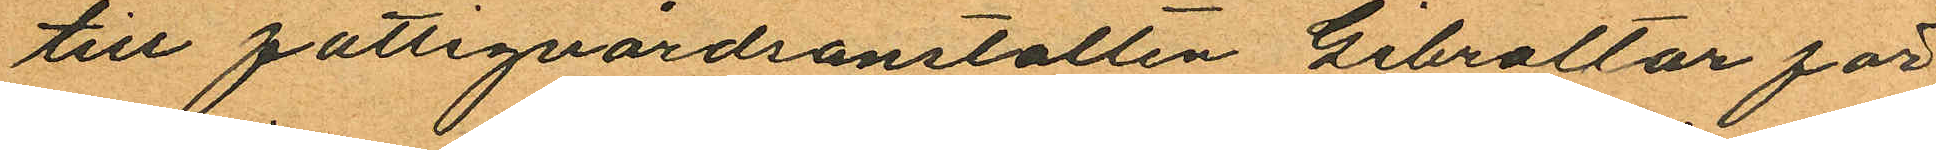till fattigvårdsanstalten Gibraltar för
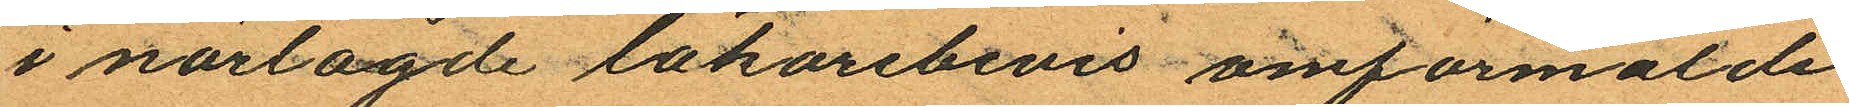i närlagde läkarebevis omförmälde
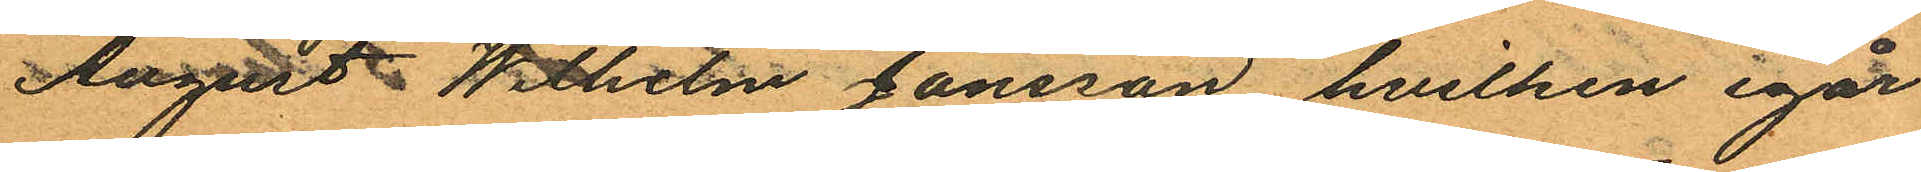August Wilhelm Jansson, hvilken igår
